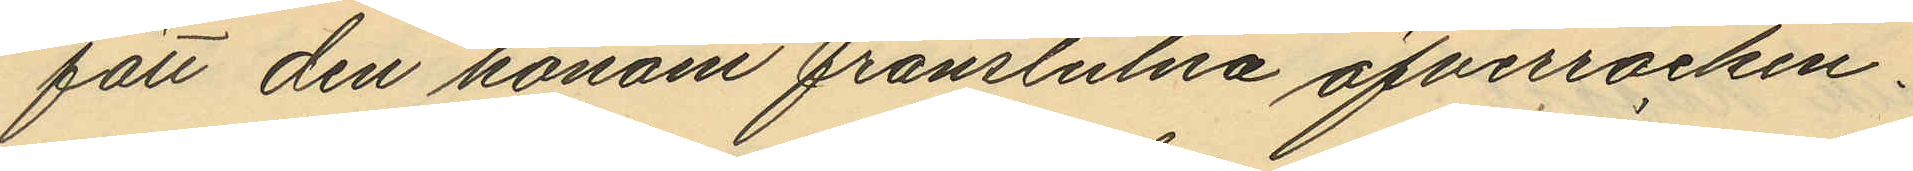fått den honom frånstulna öfverrocken.
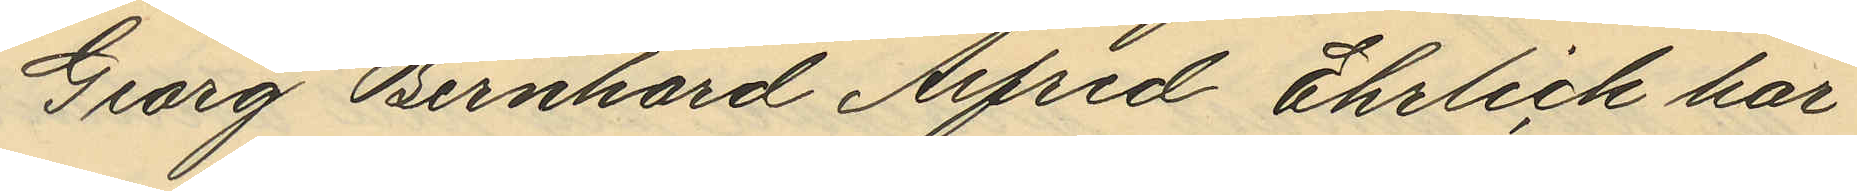Georg Bernhard Alfred Ehrlich har
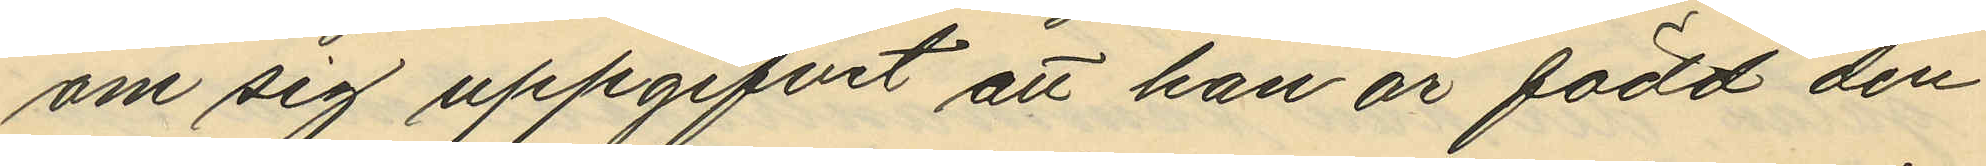om sig uppgifvit att han är född den
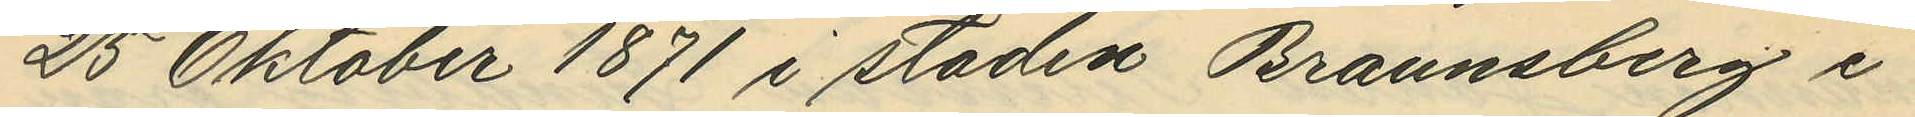25 Oktober 1871 i staden Braunsberg i
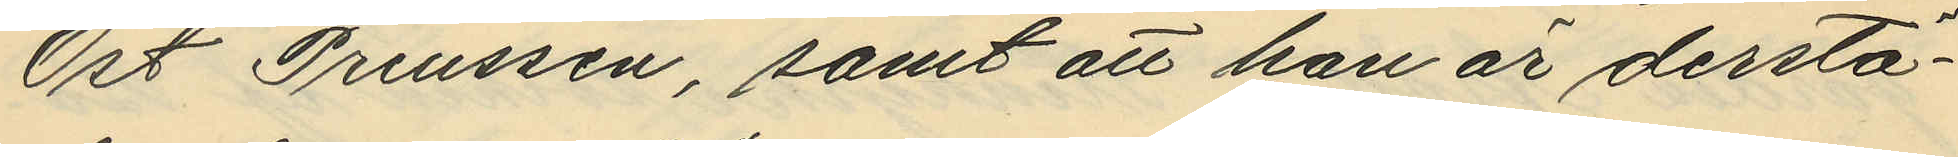Ost Preussen, samt att han är derstä¬
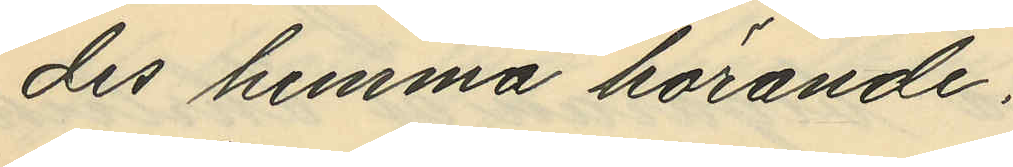des hemma hörande.
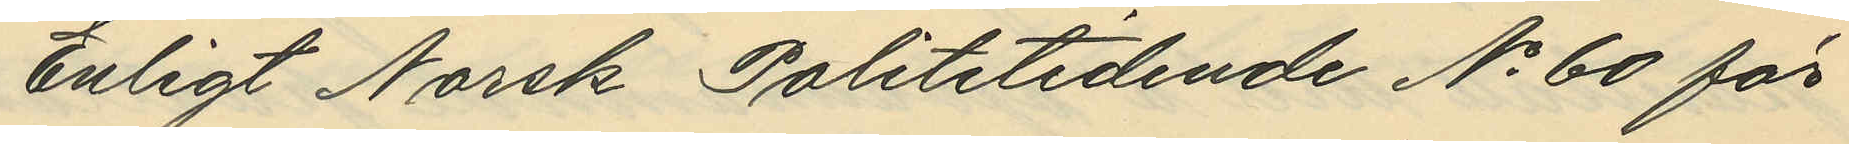Enligt Norsk Polititidende No 60 för
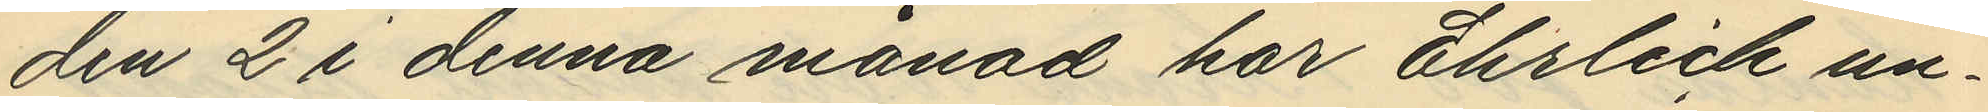den 2 i denna månad har Ehrlich un¬
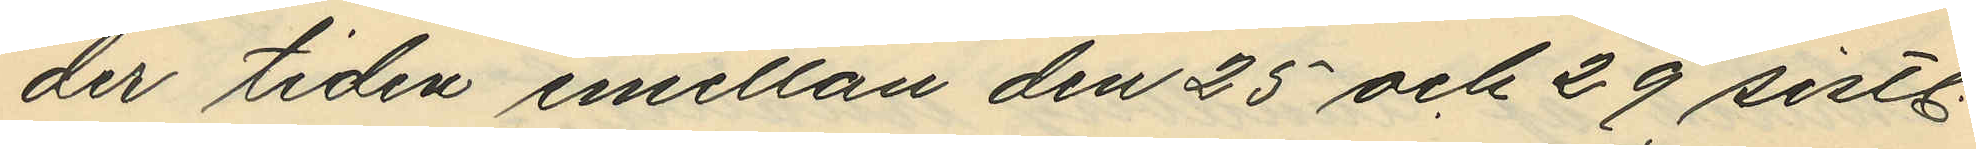der tiden emellan den 25 och 29 sistl.
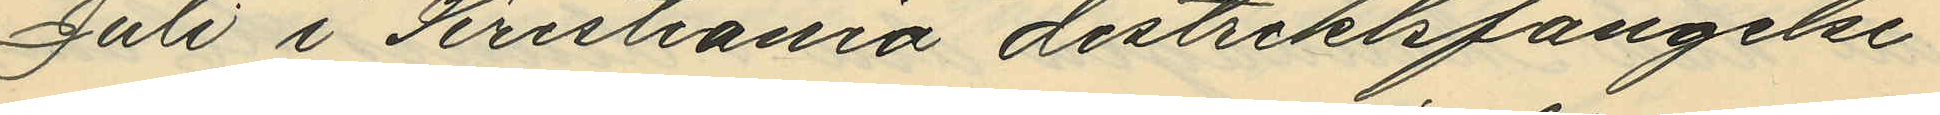Juli i Kristiania distriktsfängelse
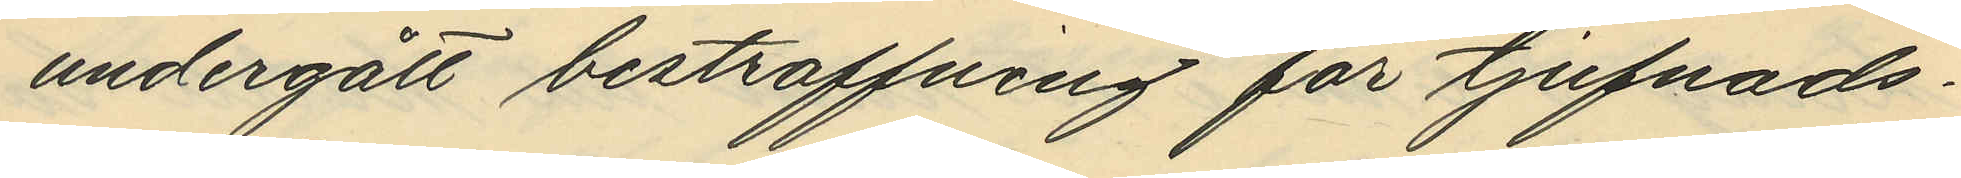undergått bestraffning för tjufnads¬
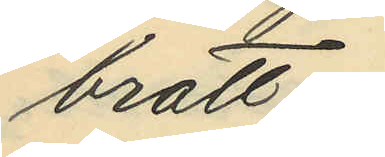brott.
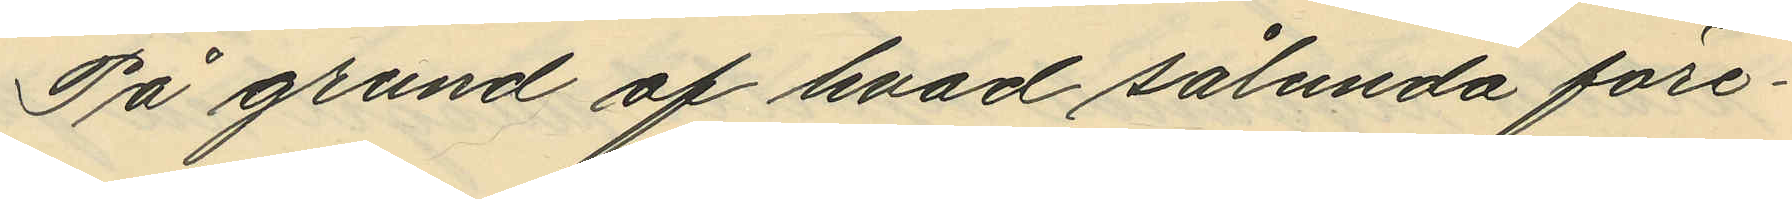På grund af hvad sålunda före¬
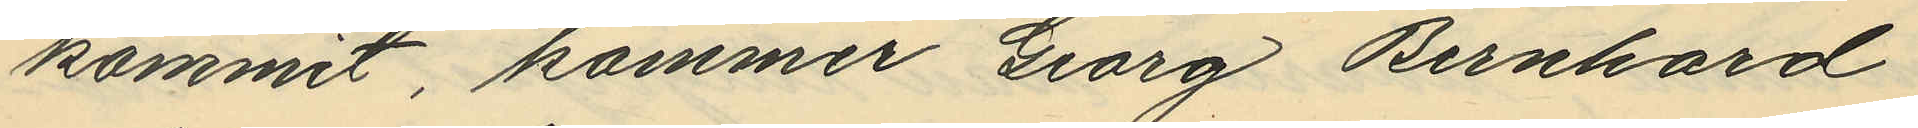kommit, kommer Georg Bernhard
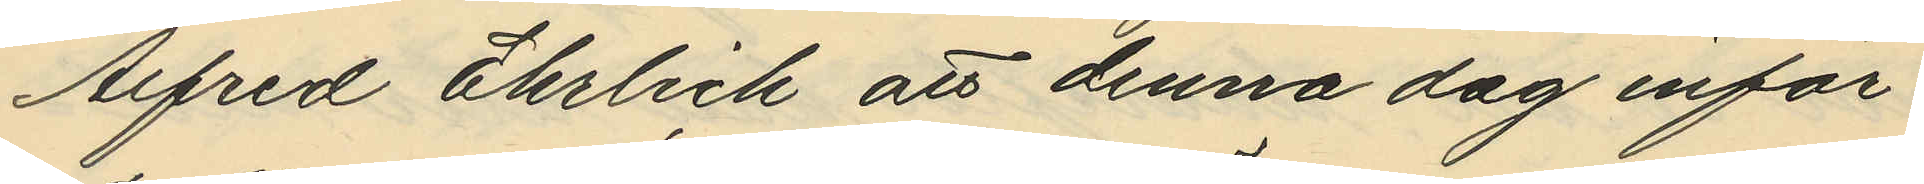Alfred Ehrlich att denna dag inför
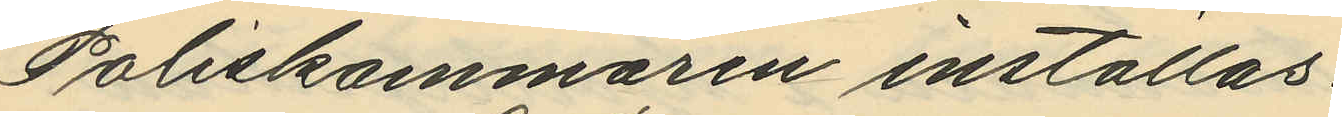Poliskammaren inställas.
